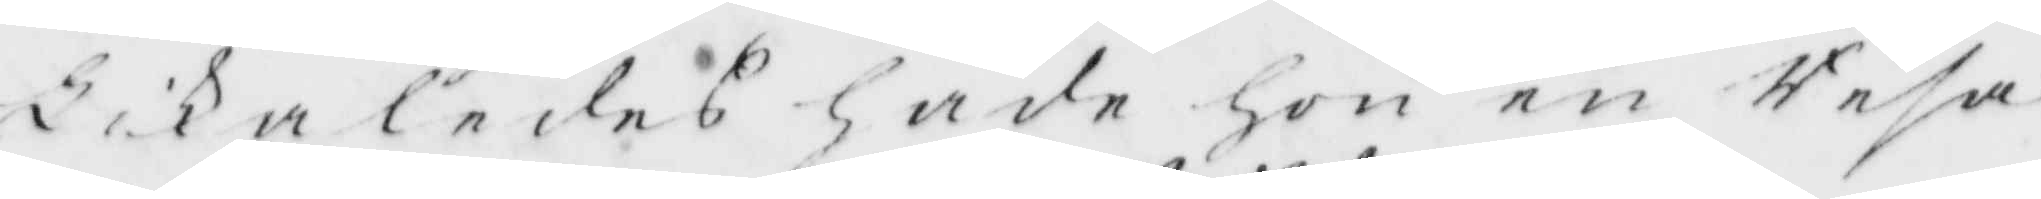likaledes hade hon en Resa
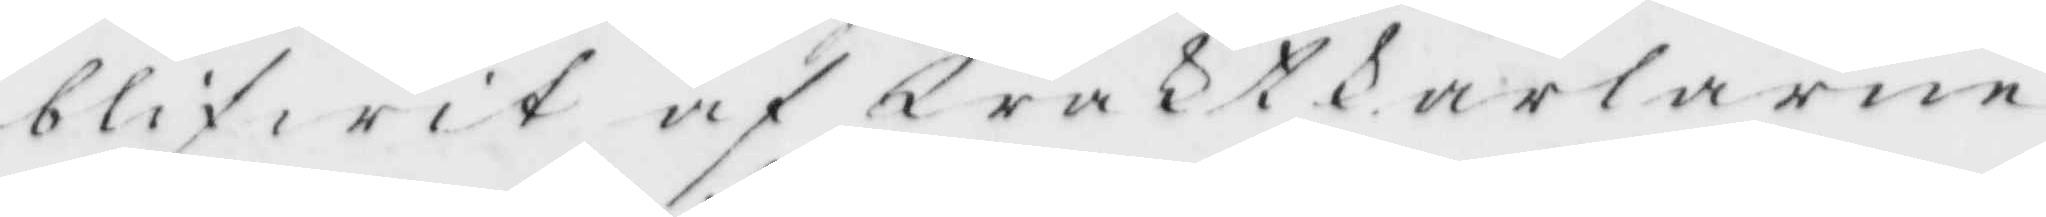blifwit af Waktkarlarne
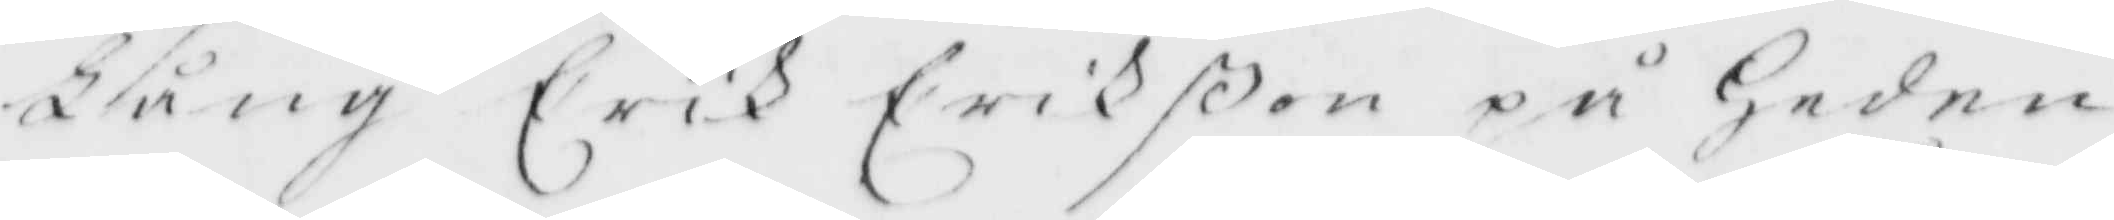Lång Erik Erikßon på Heden
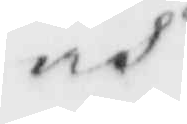och
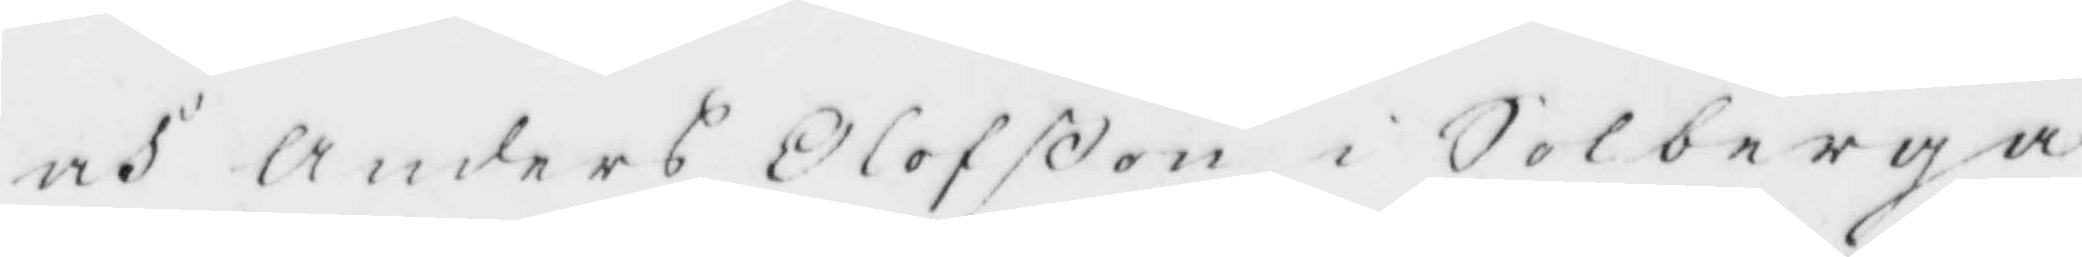och Anders Olofßon i Solberga
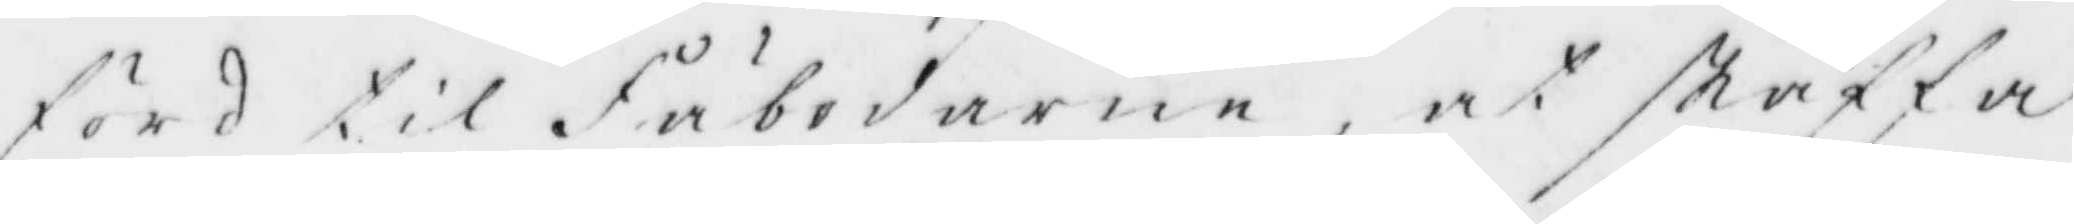förd til Fäbodarne, at skaffa
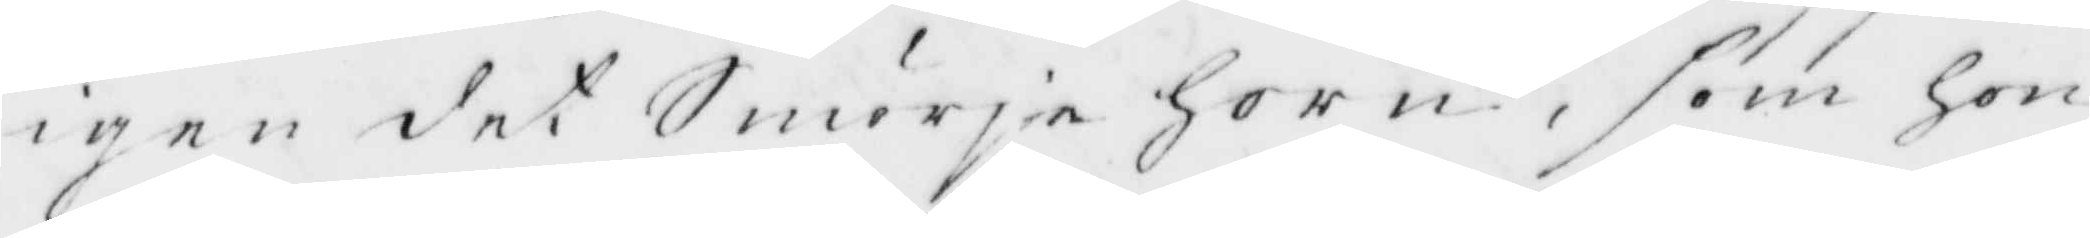igen det SmörjeHorn, som hon
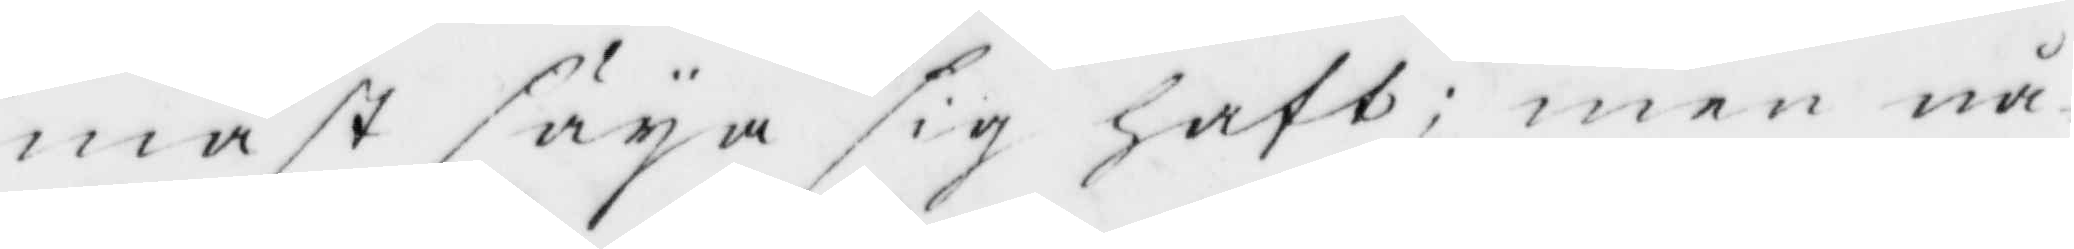måst säja sig haft; men nå¬
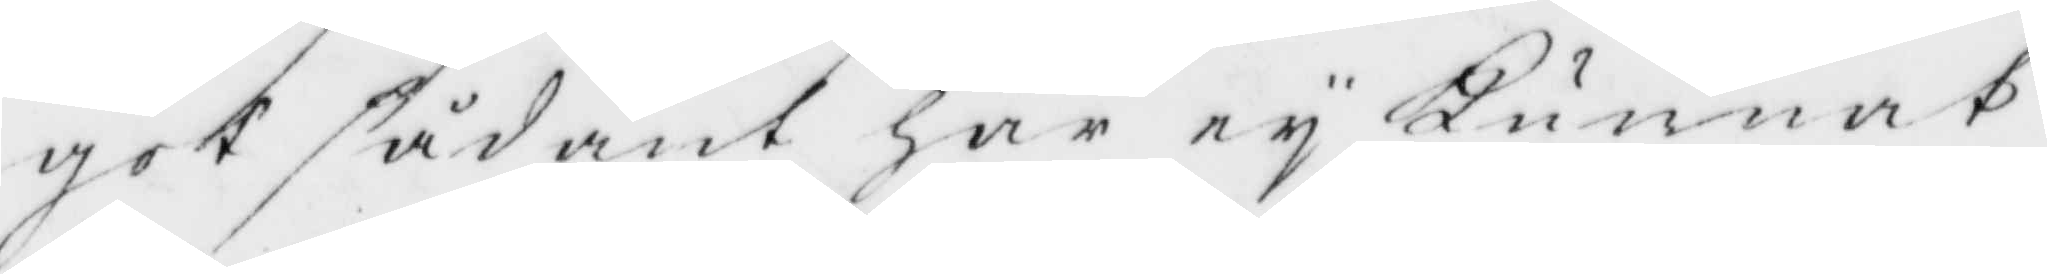got sådant har ey Kunnat
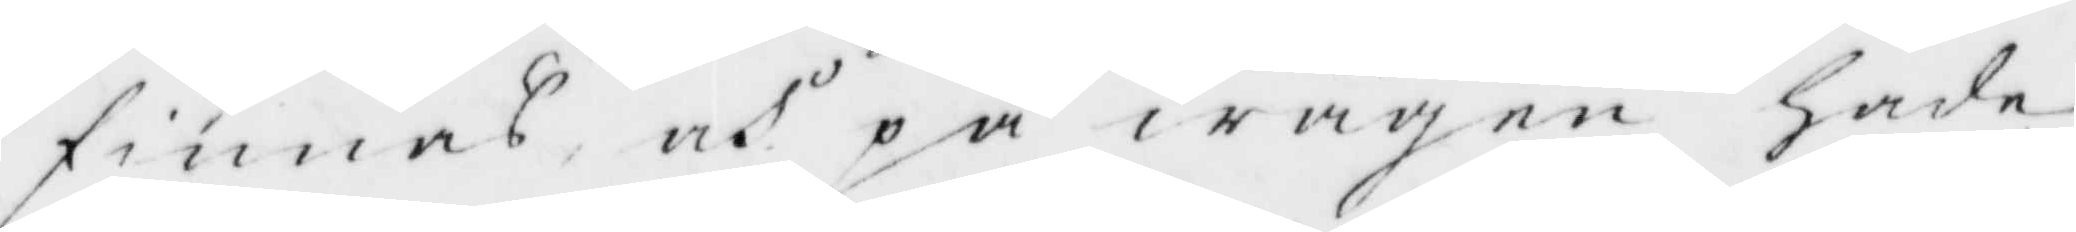finnas och på wägen hade
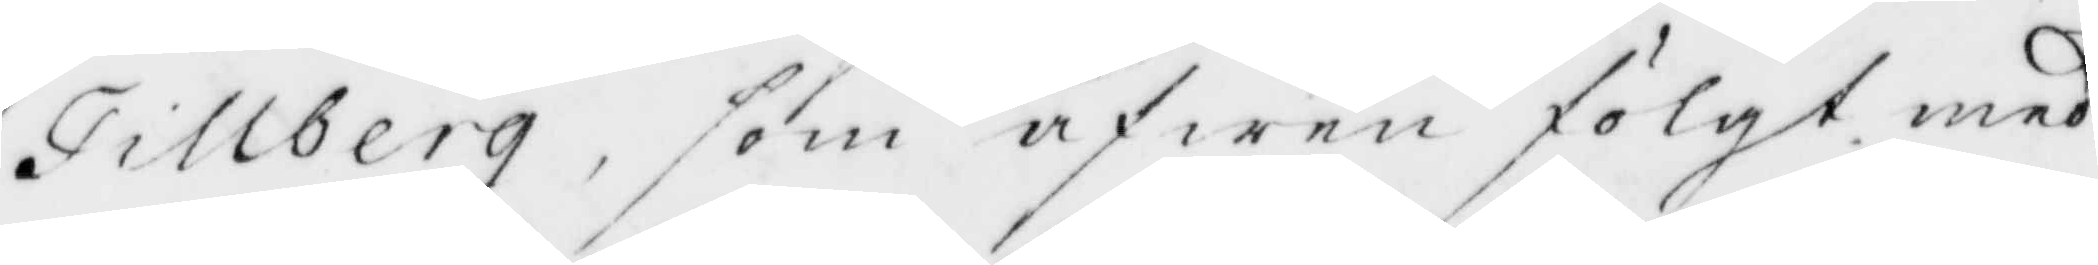Tillberg, som äfwen fölgt med
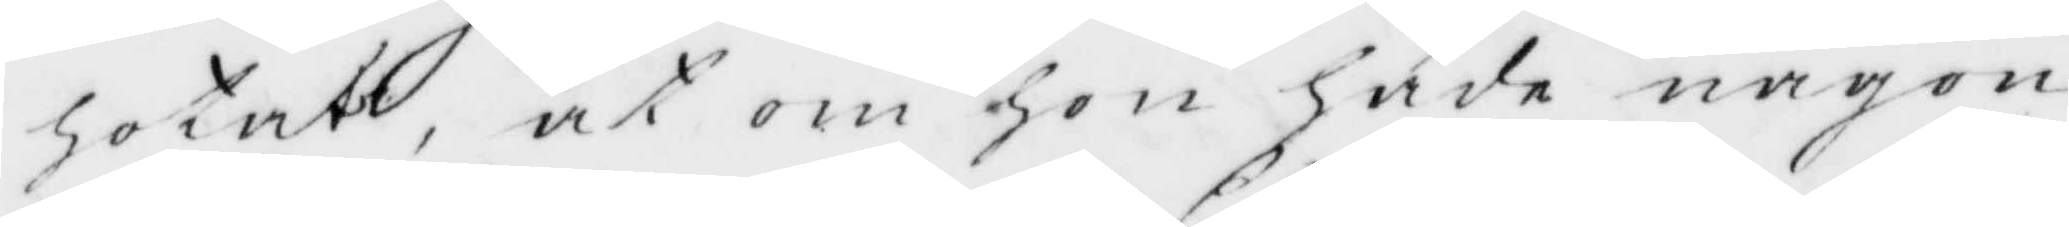hotat, at om hon hade någon
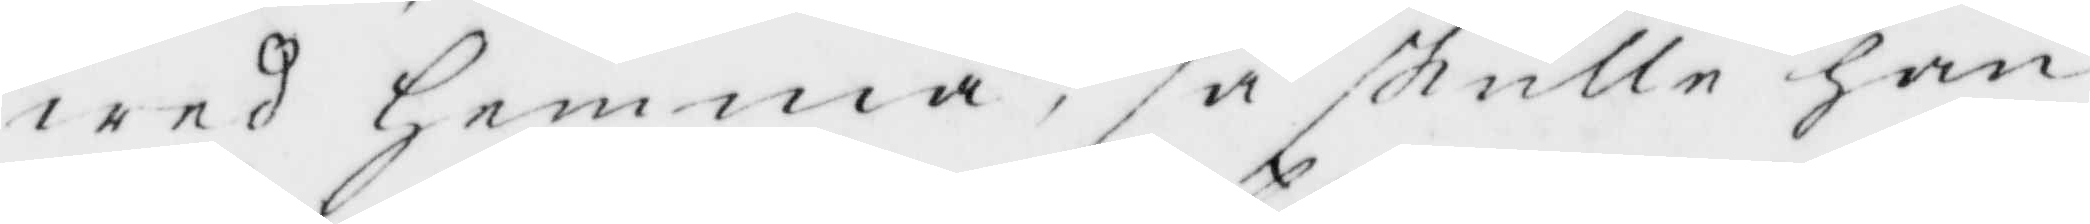wed Hemma, så skulle han
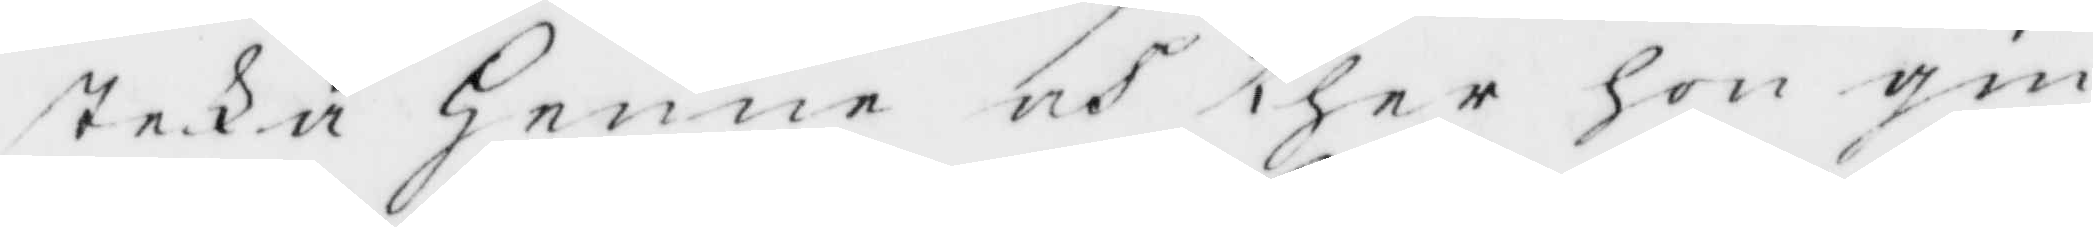steka Henne och ther hon gin¬
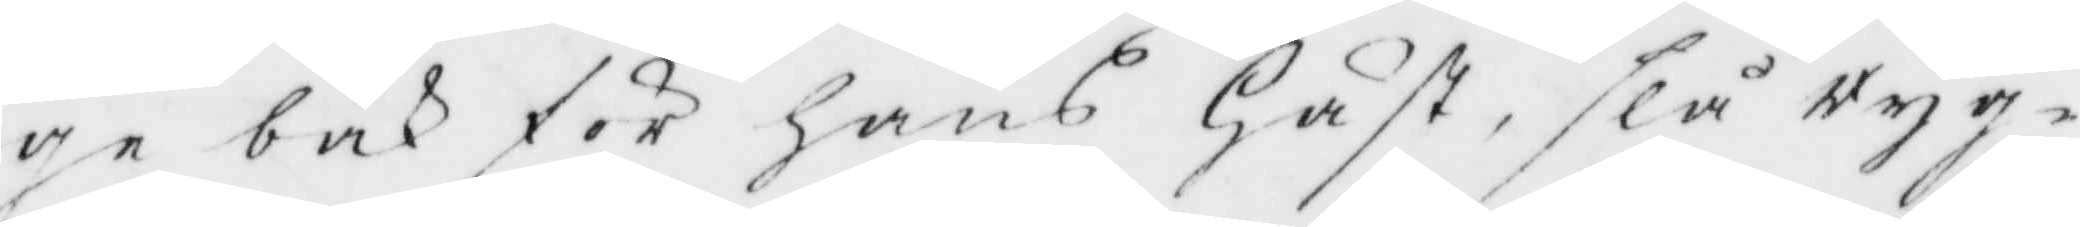ge bak för hans Häst, slå ryg¬
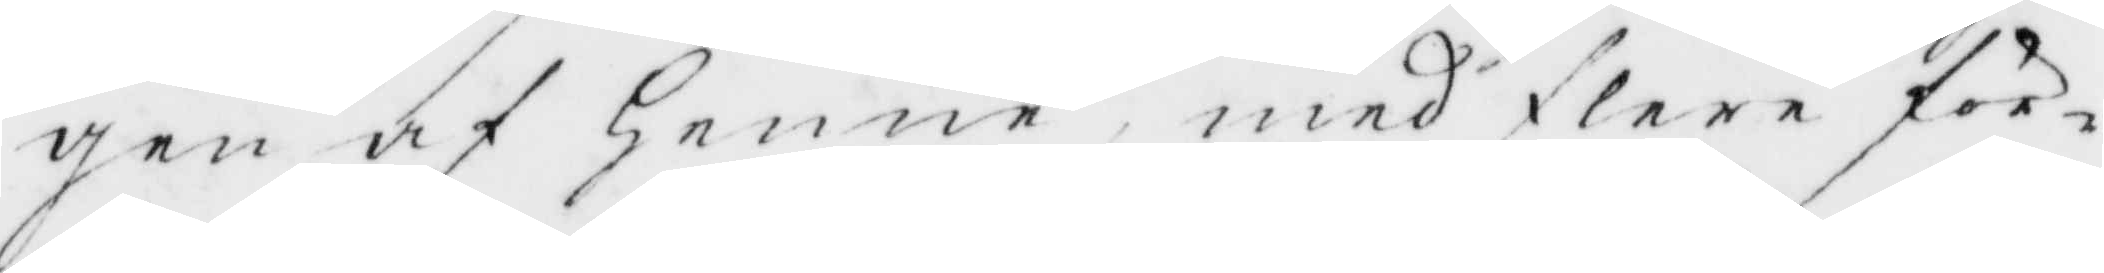gen af henne, med flere för¬
